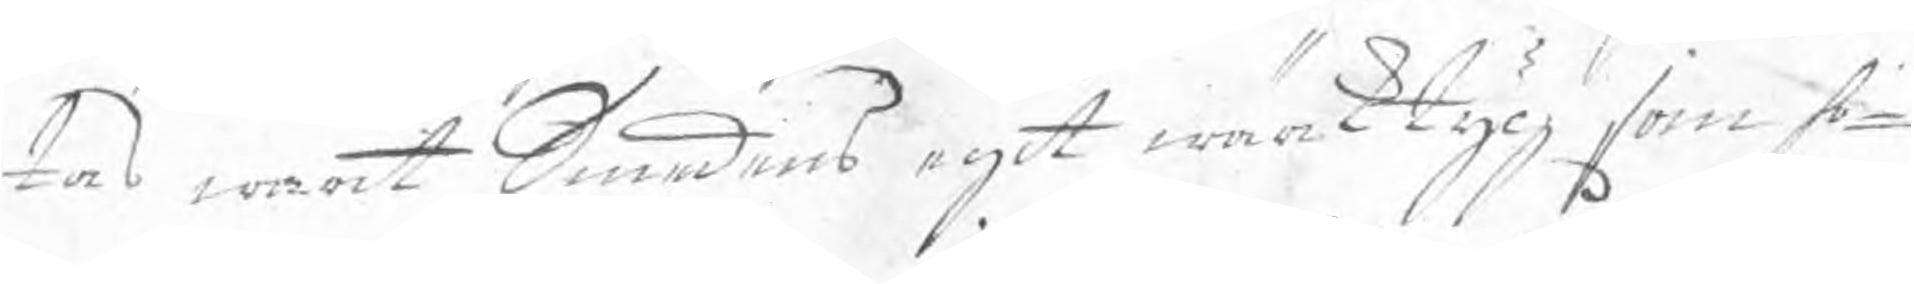tas warit Smedens egit wärktyg som ho¬
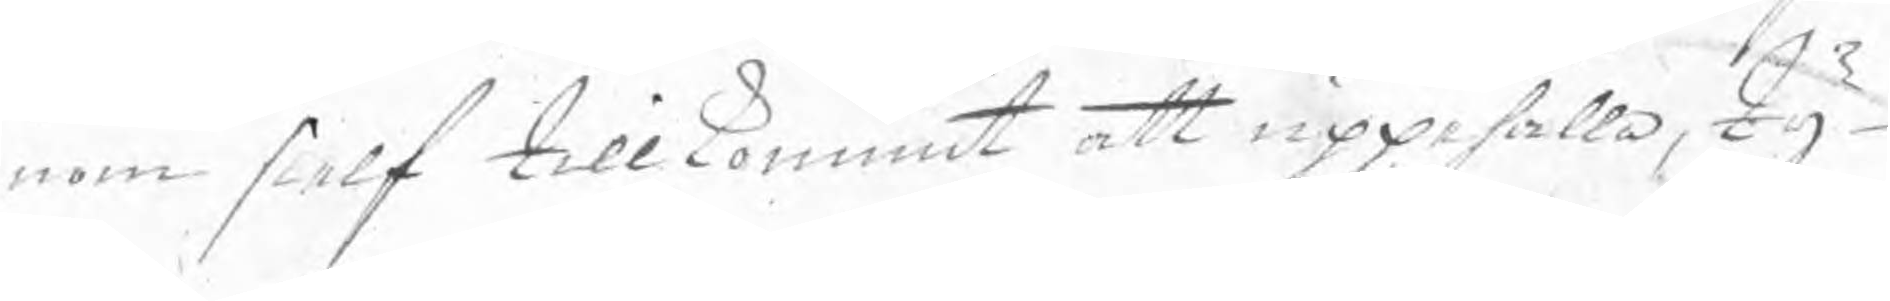nom sielf tillkommit att uppehålla, ty
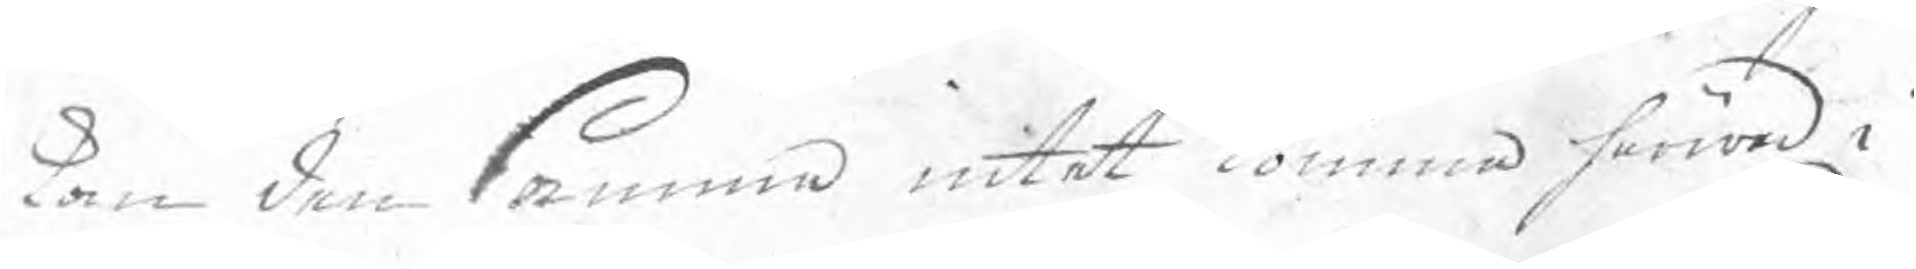kan den samma intet komma härmed i
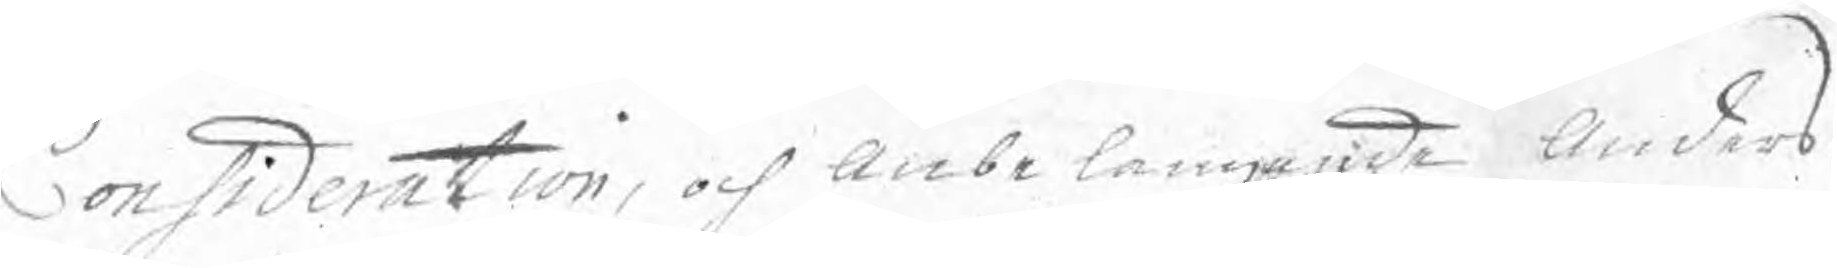Consideration, och anbelangande Anders
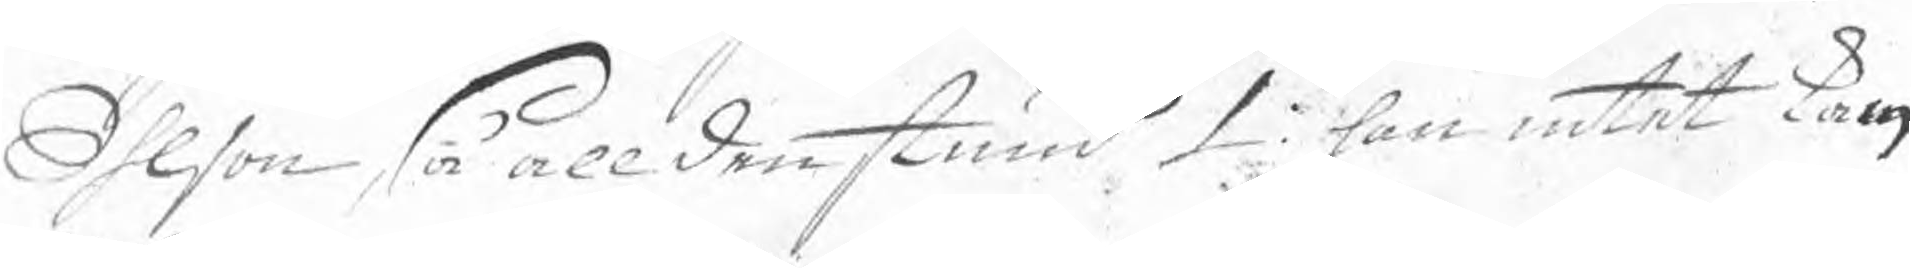Ohlson, så alldenstund 1: han intet kan
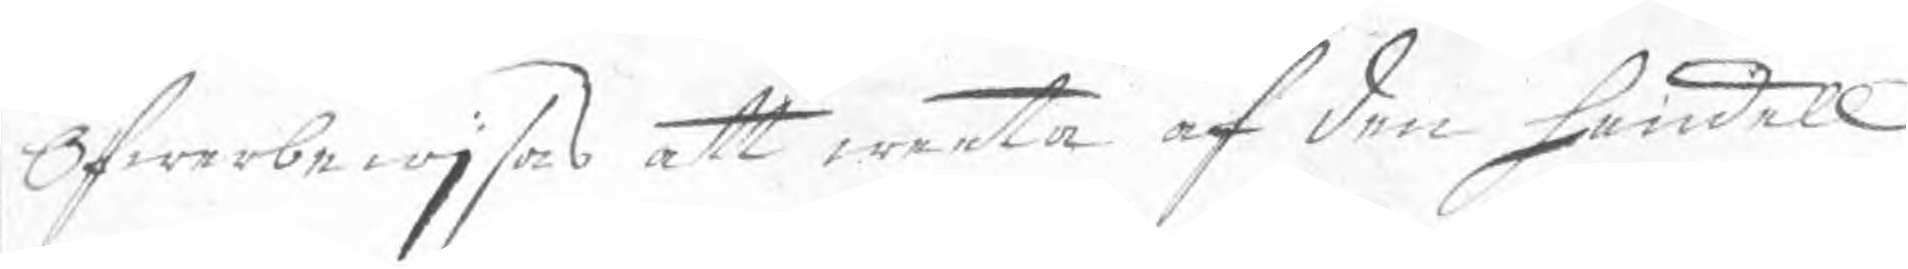öfwerbewjsas att weeta af den handell
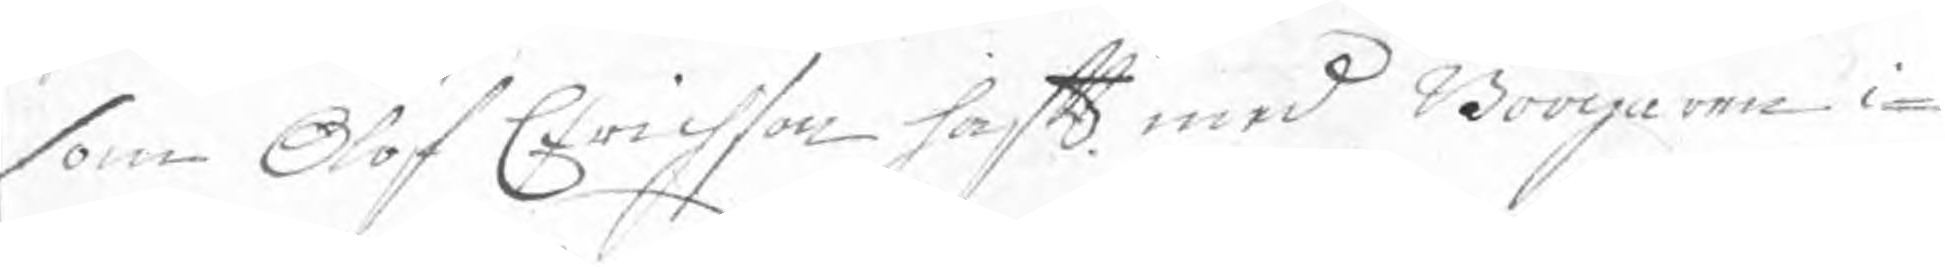som Olof Erichson haft med Borgaren i¬
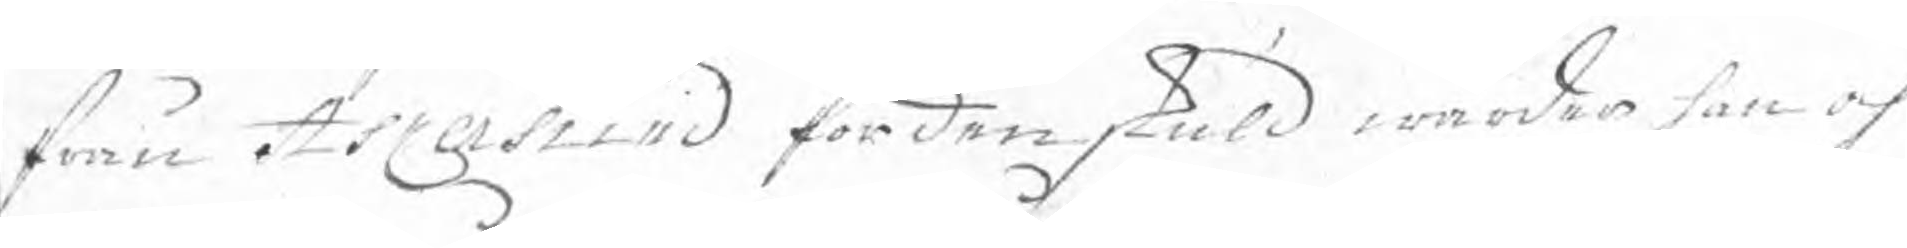från Askersund fördenskuld warder han och
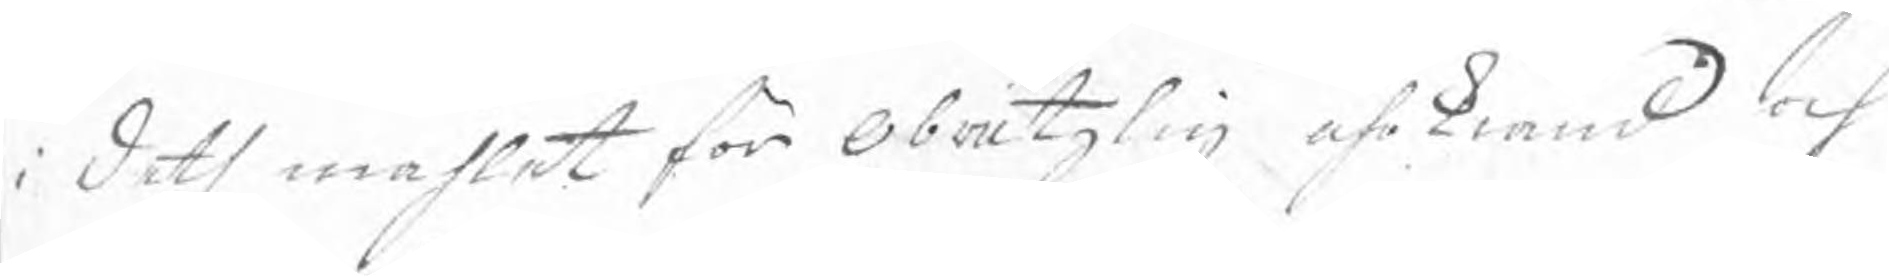i deth måhlet för Obråtzlig ährkiänd och
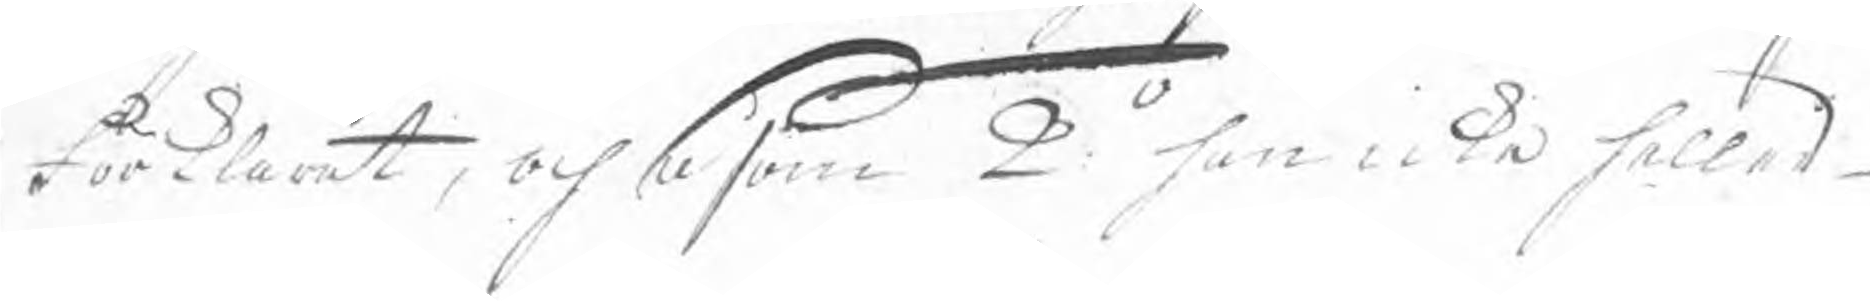Förklarat, och såsom 2o han icke heller
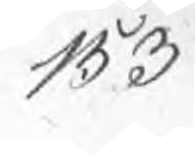153
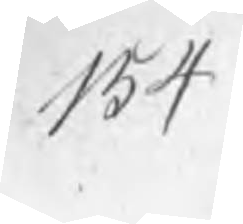154
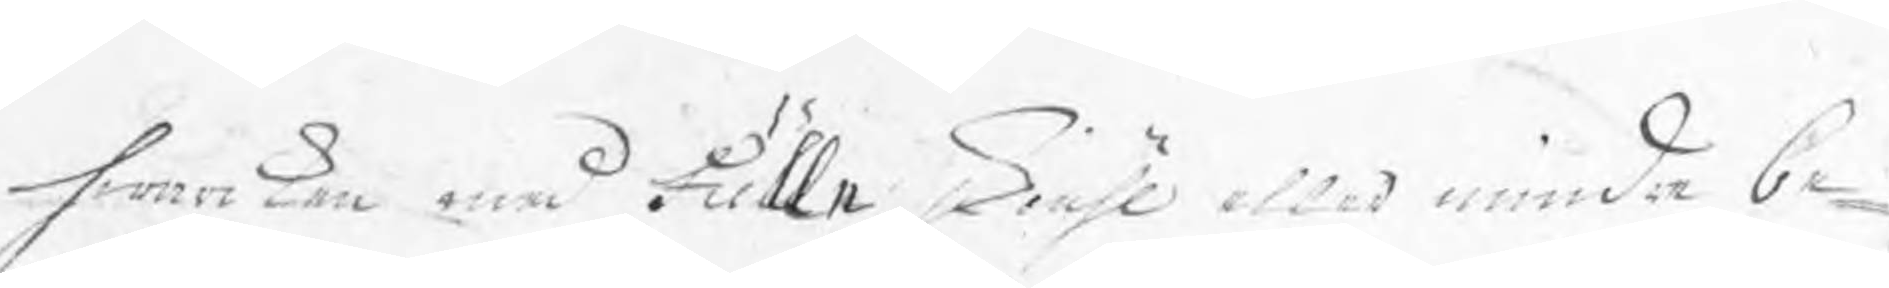hwarcken med Fulla skiähl eller mindre be¬
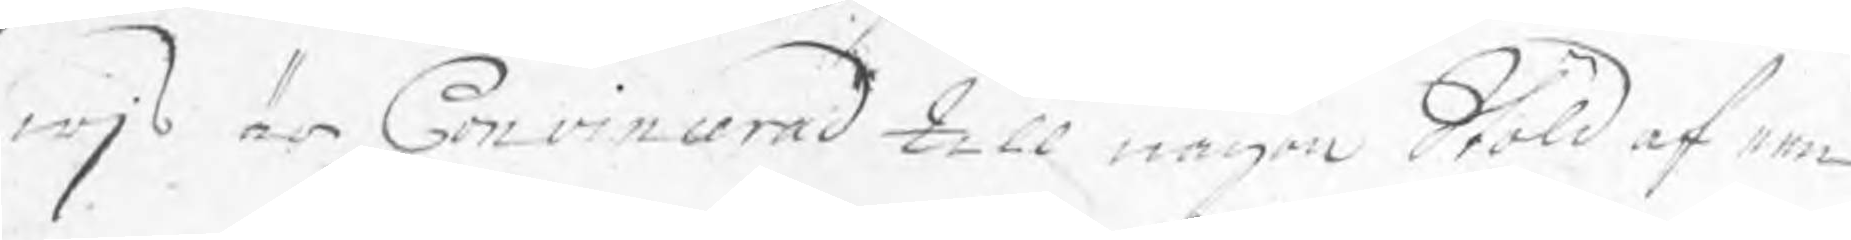wjs är Convincerad till någon Stöld af een
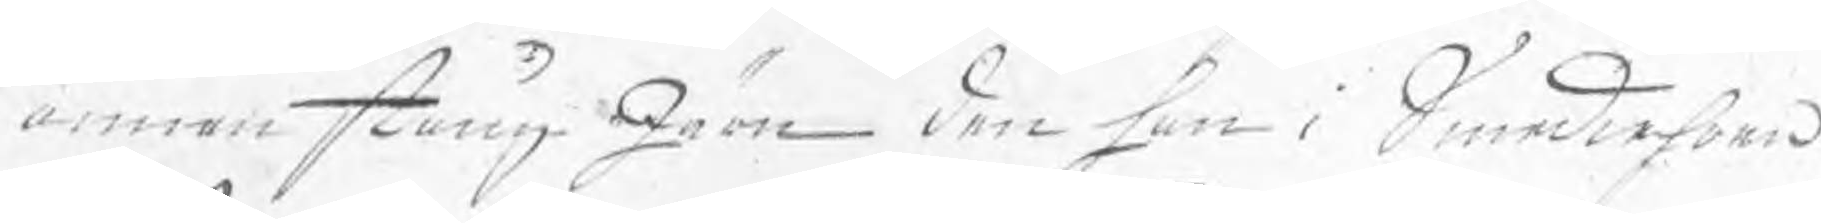annan stång Järn den han i Smediehoen
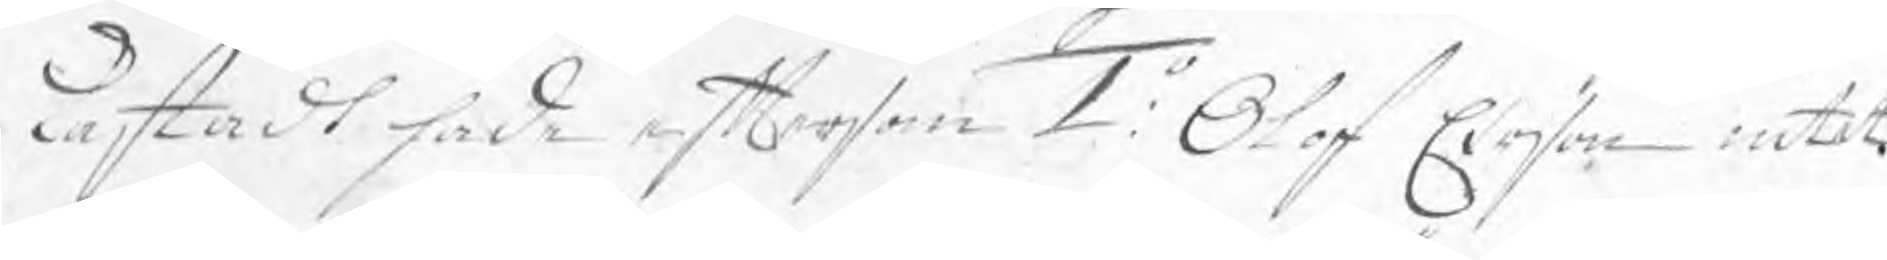kastadt sade eftersom 1o: Olof Erson intet
